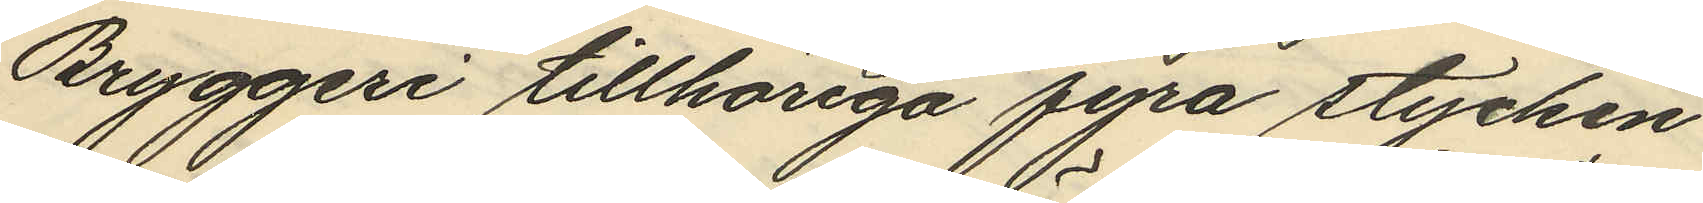Bryggeri tillhöriga fyra stycken
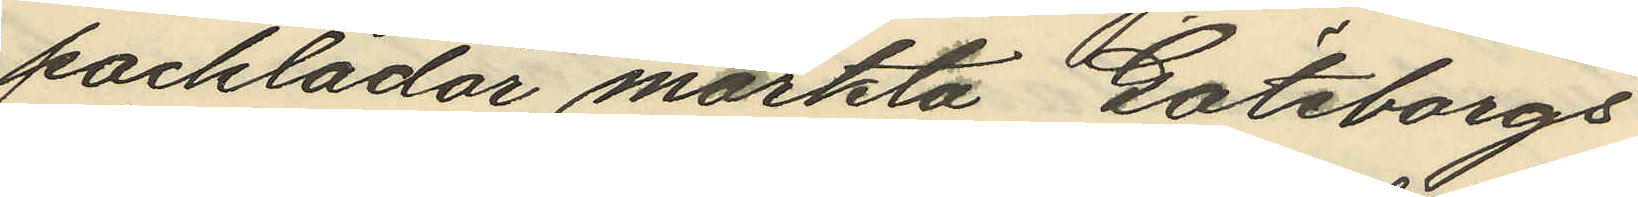packlådor märkta Göteborgs
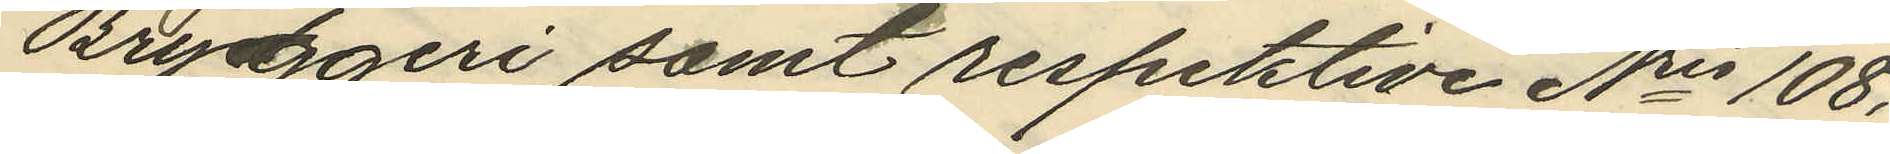Bryggeri samt respektive Nris 108,
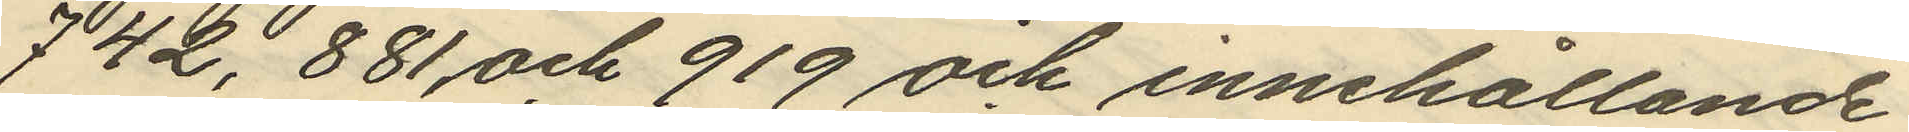742, 881 och 919 och innehållande
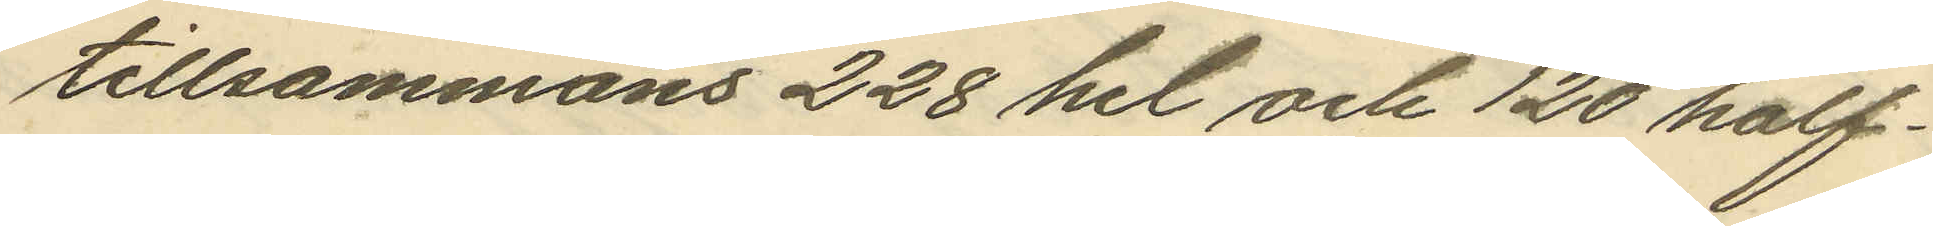tillsammans 228 hel och 120 half¬
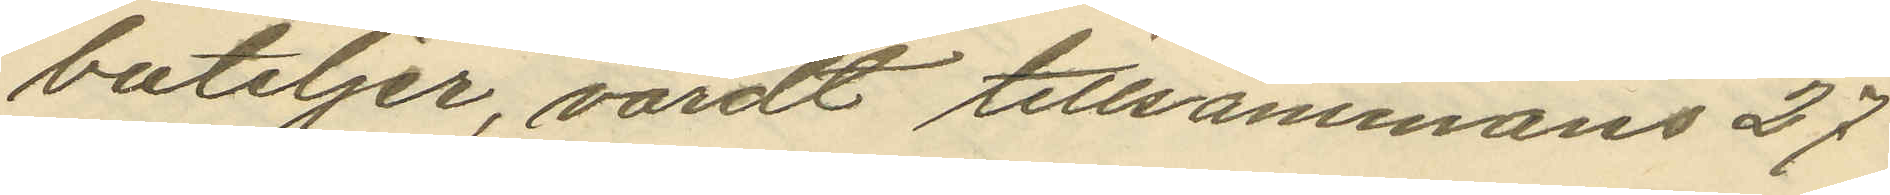buteljer, värdt tillsammans 27
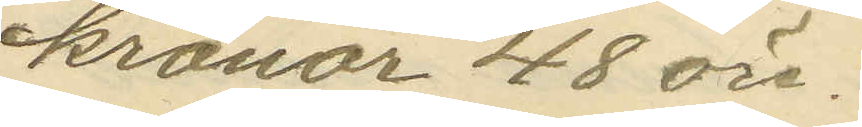kronor 48 öre.
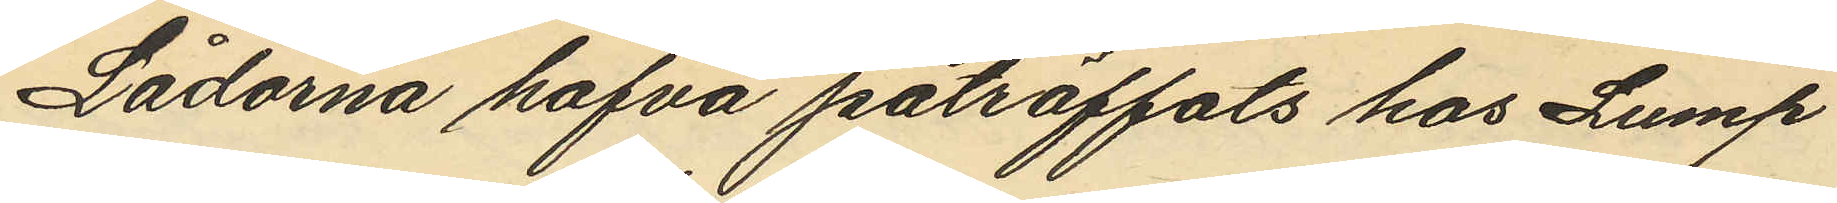Lådorna hafva påträffats hos Lump
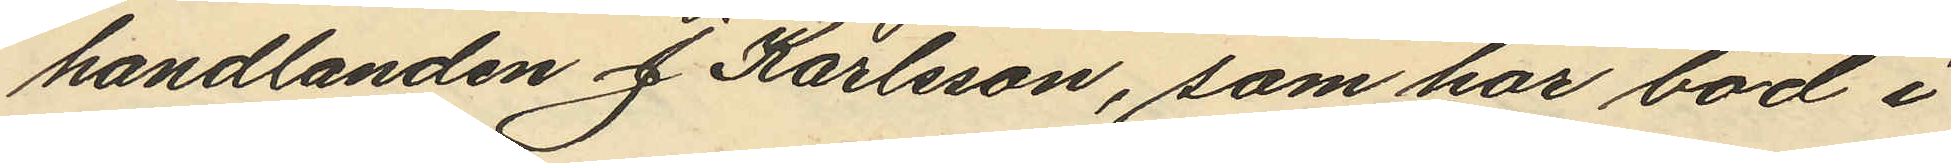handlanden J. Karlsson, som har bod i
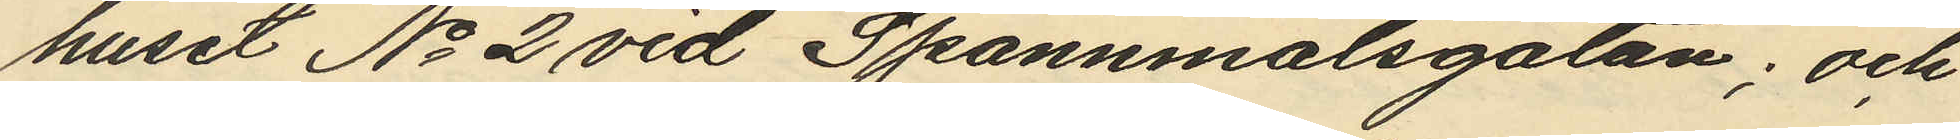huset No 2 vid Spannmålsgatan; och
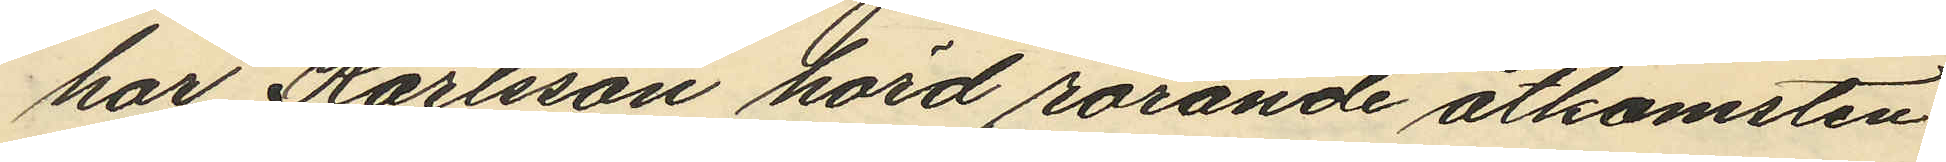har Karlsson hörd rörande åtkomsten
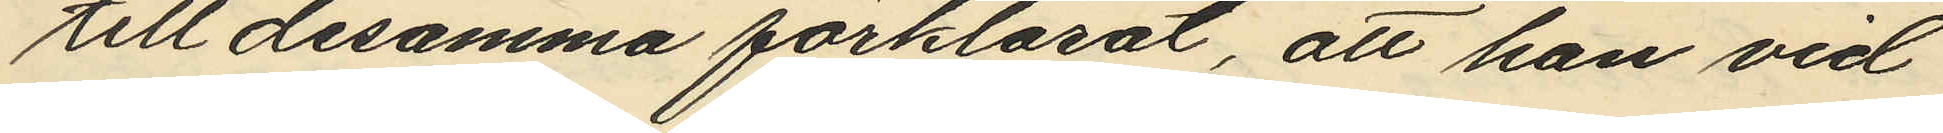till desamma förklarat, att han vid
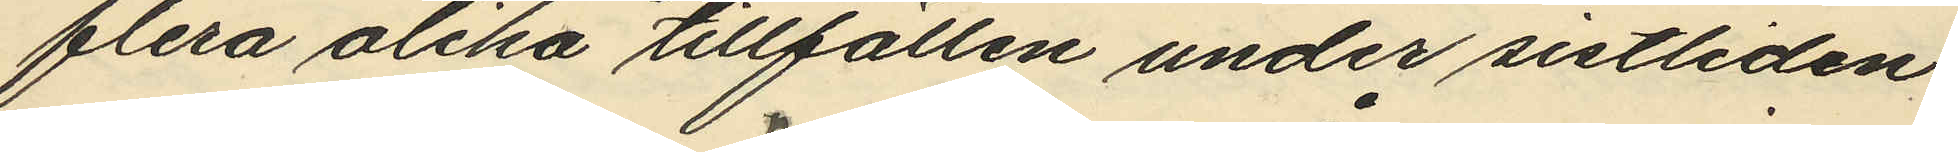flera olika tillfällen under sistliden
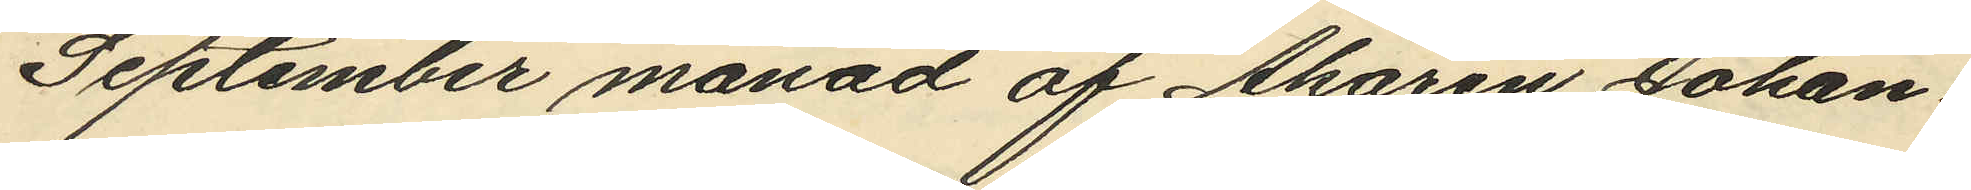September månad af Åkaren Johan¬
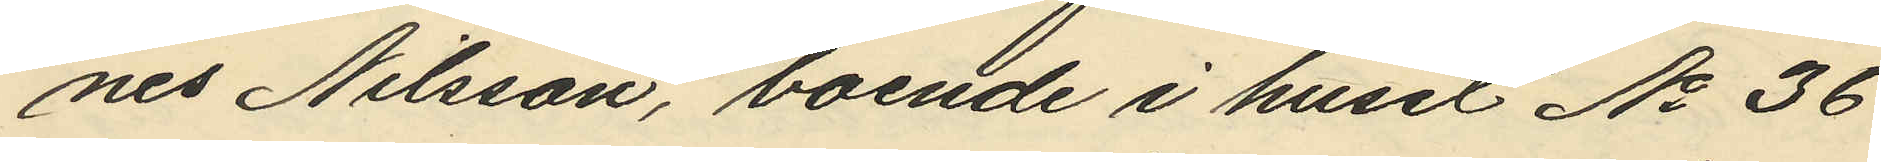nes Nilsson, boende i huset No 36
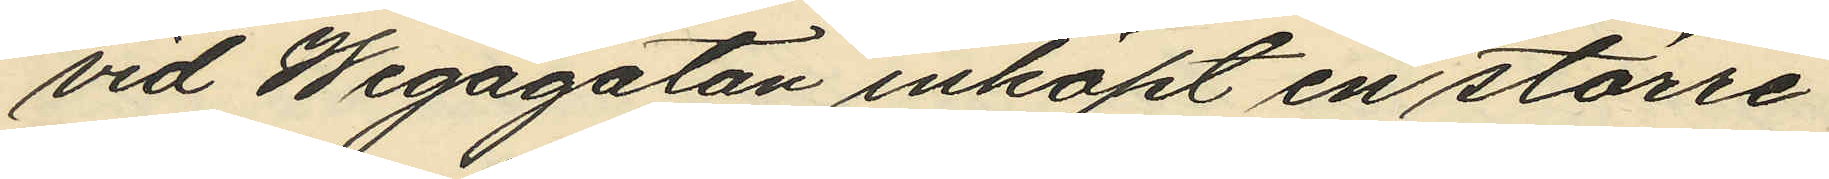vid Wegagatan inköpt en större
